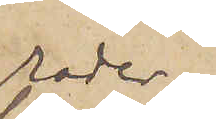rader
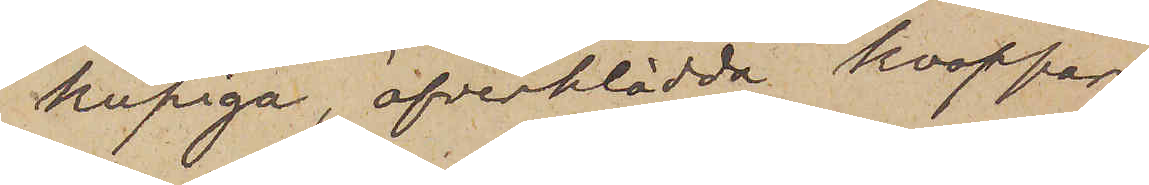kupiga, öfverklädda knappar,
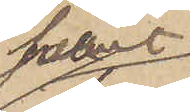svart
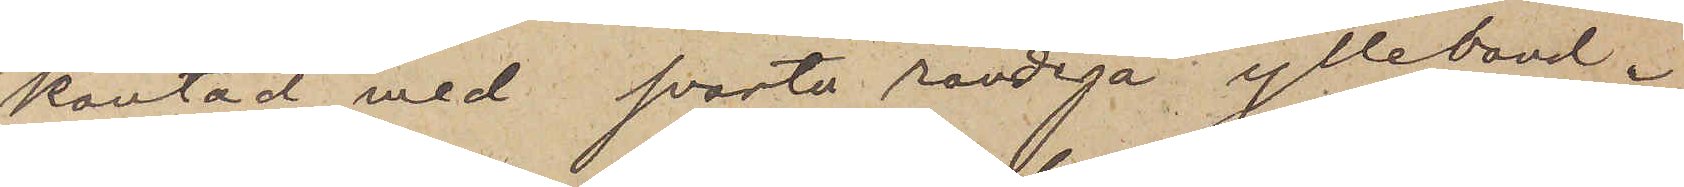kantad med svarta randiga ylleband.
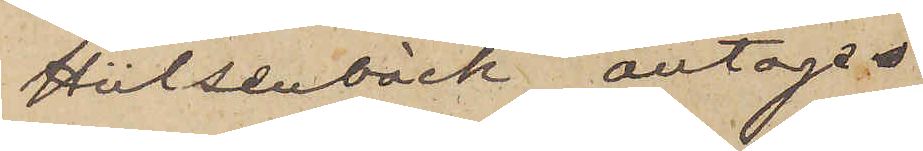Hülsenbäck antages
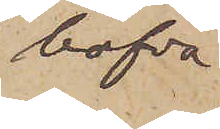hafva
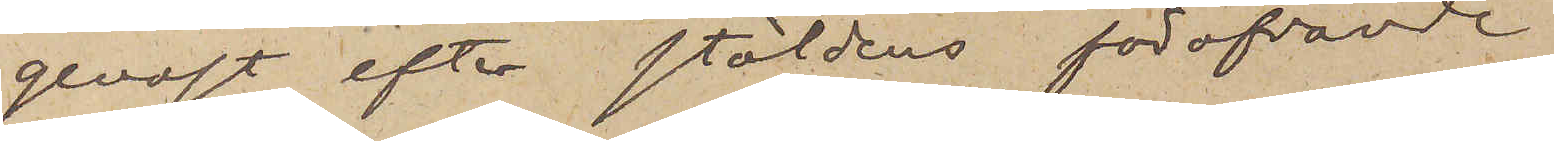genast efter stöldens föröfvande
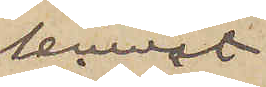lemnat
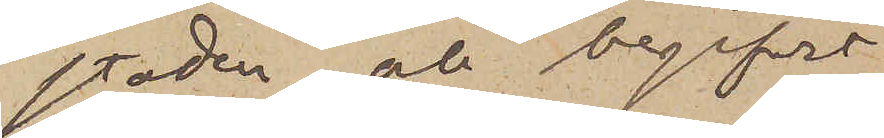staden och begifvit
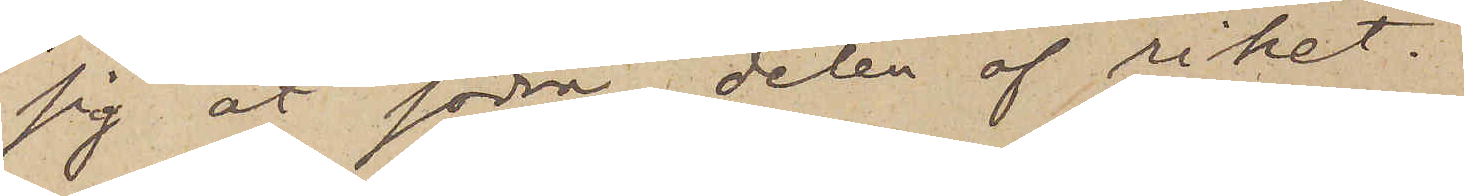sig åt södra delen af riket.
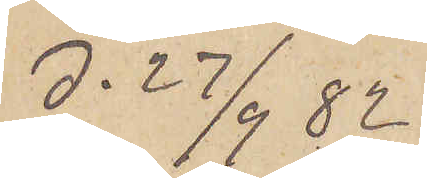d. 27/9  82
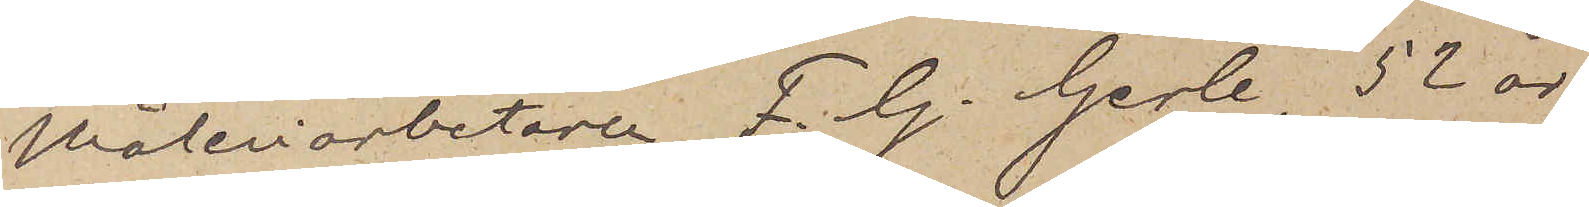Måleriarbetaren F. G. Gerle 52 år
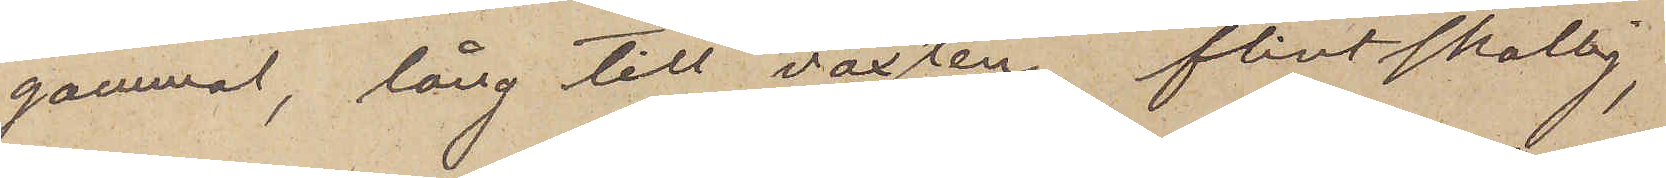gammal, lång till växten, flintskallig,
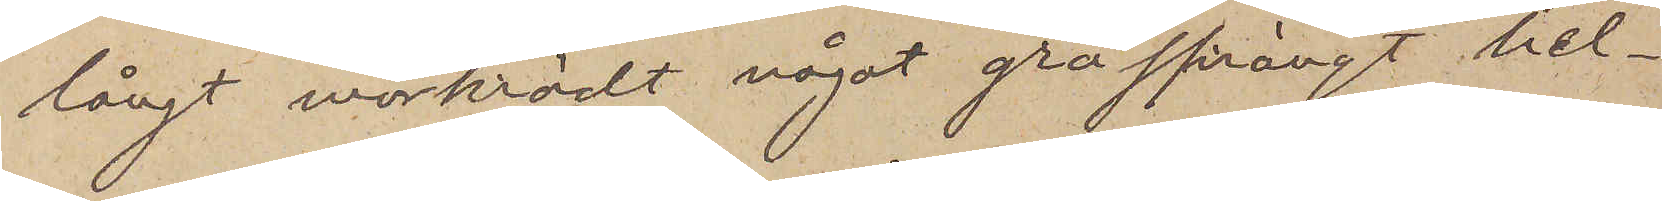långt mörkrödt något gråsprängt hel¬
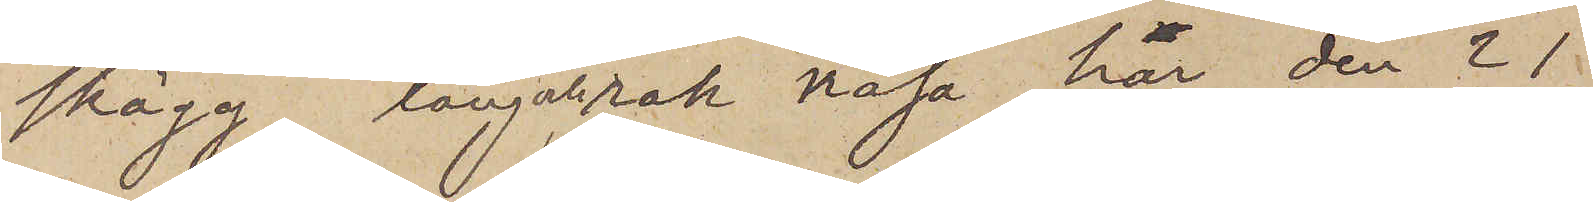skägg, lång och rak näsa, har den 21
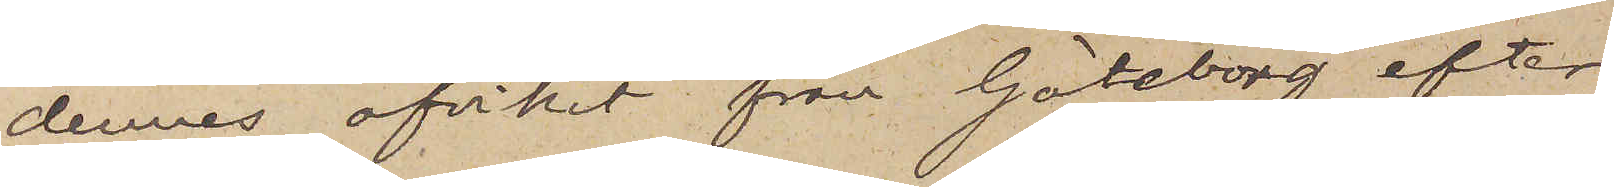dennes afvikit från Göteborg efter
